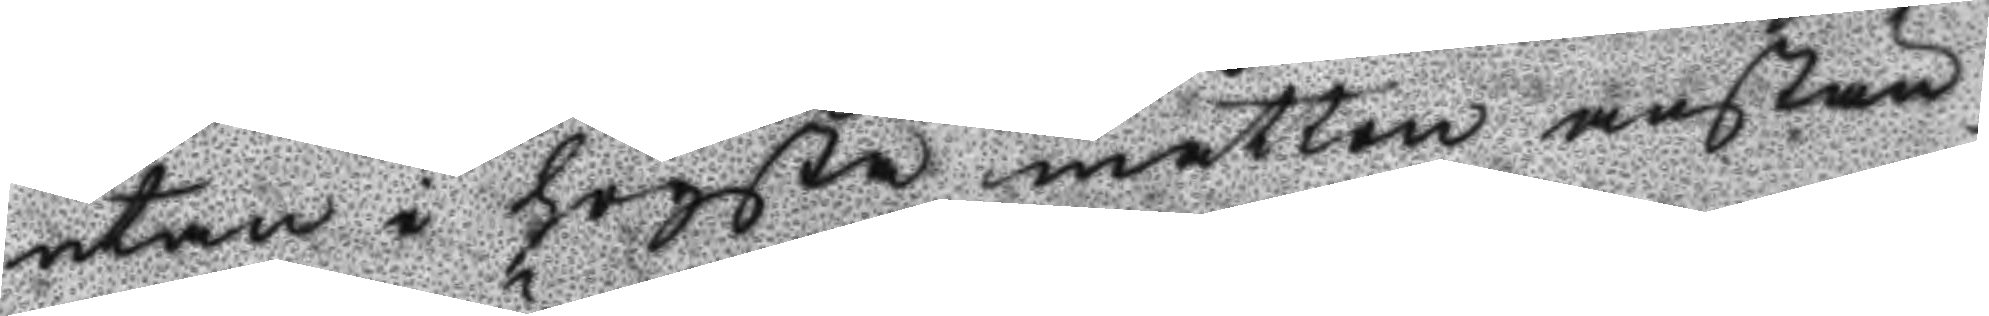utan i högsta måtten anstän¬
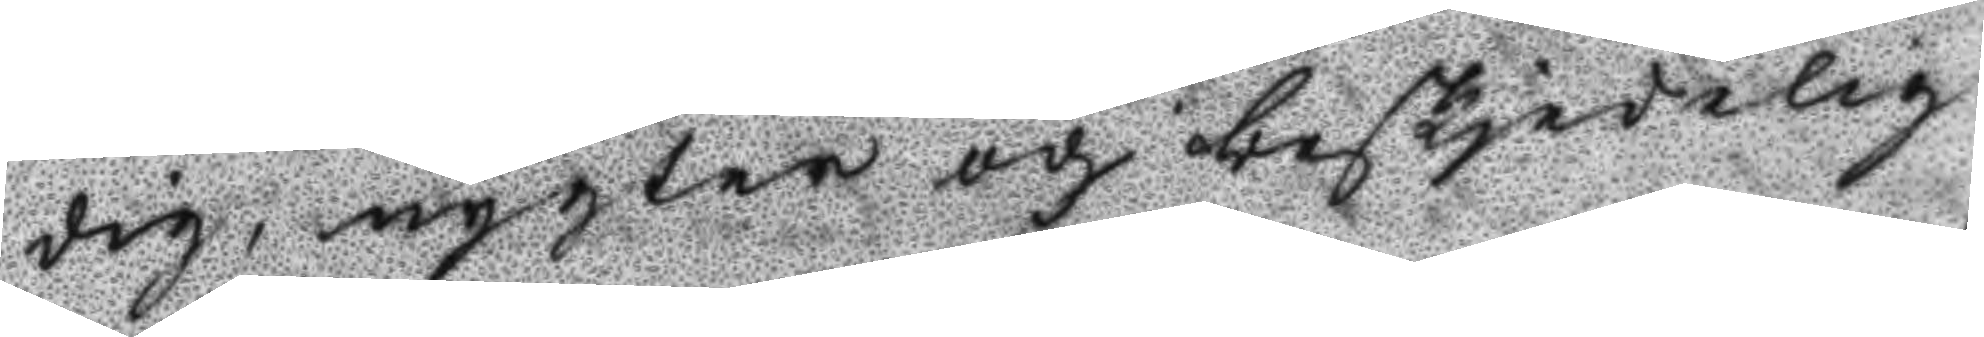dig, nygter och beskjedelig
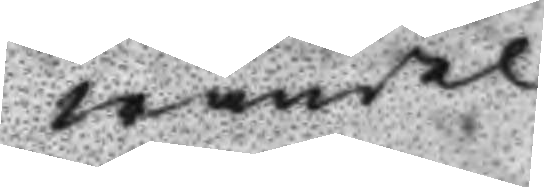wandel
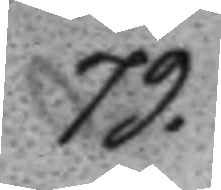79.
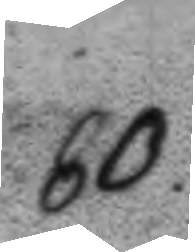80.
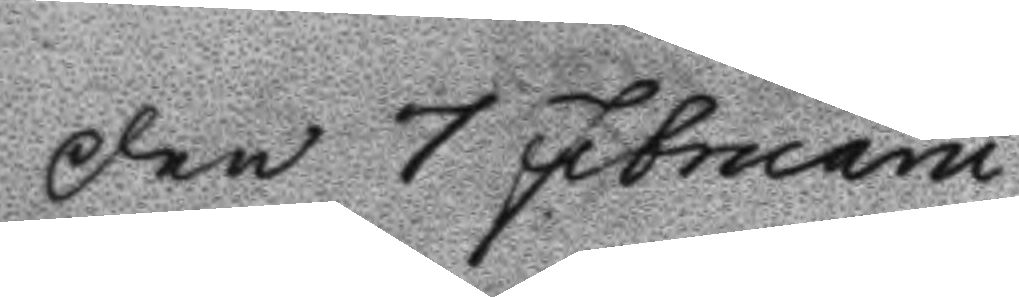Den 7 Februarii
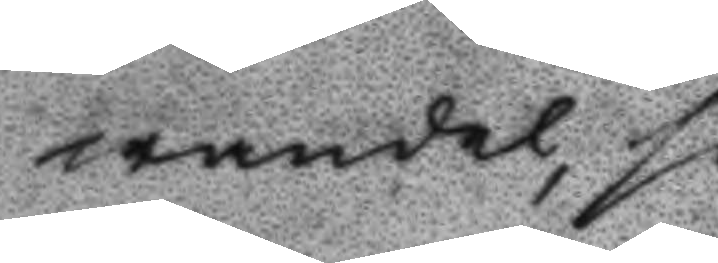wandel, så
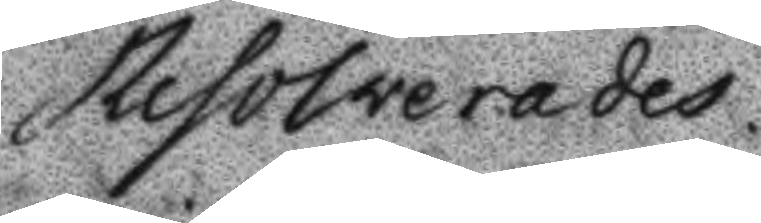Resolverades
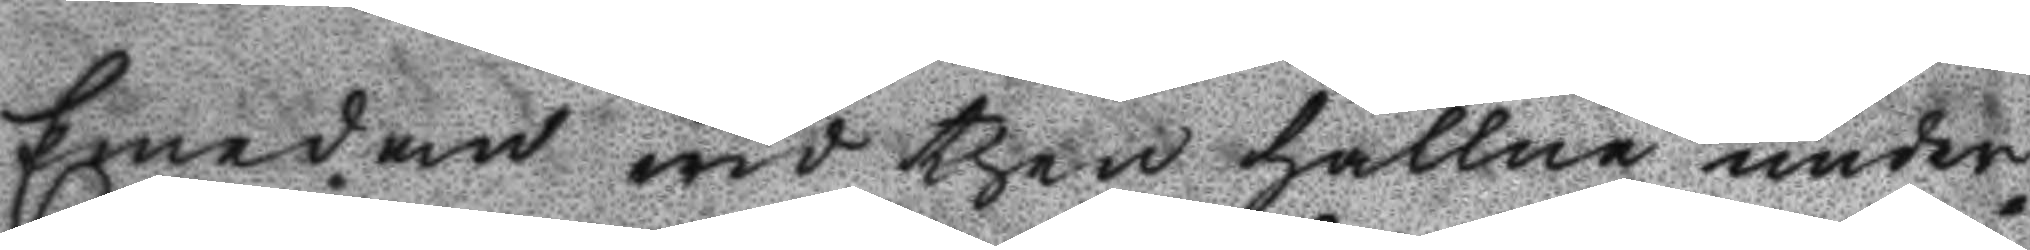Emedan wid then hållne under¬
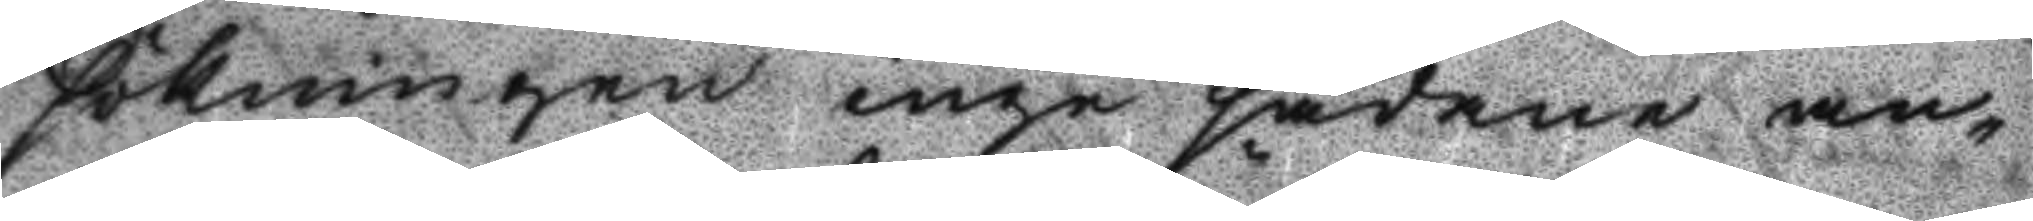sökningen inga sådane an¬
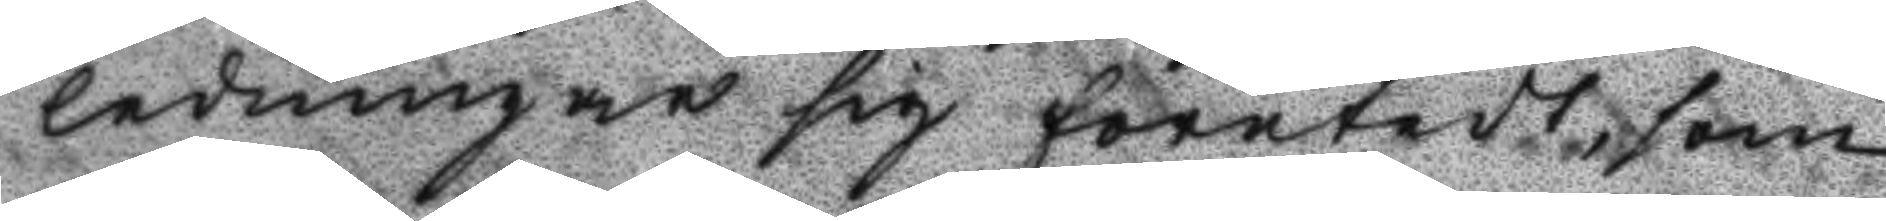ledningar sig företedt, som
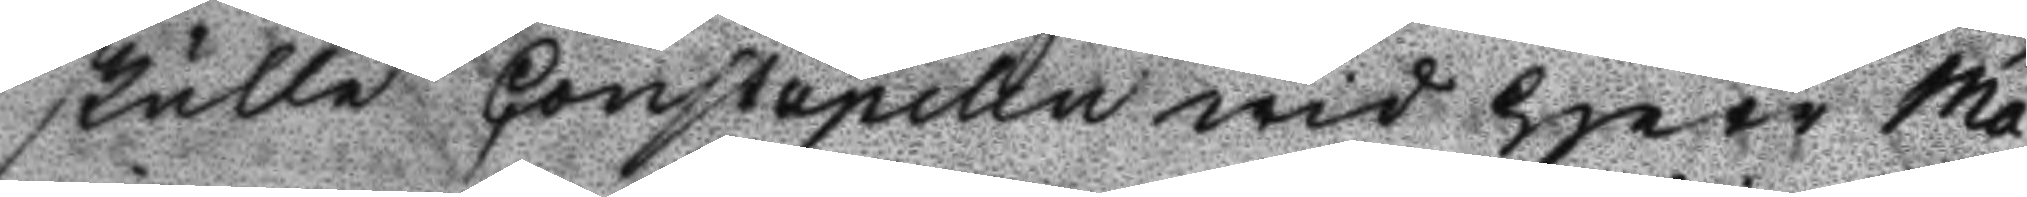skulle Constapelen wid Herr Ma¬ 
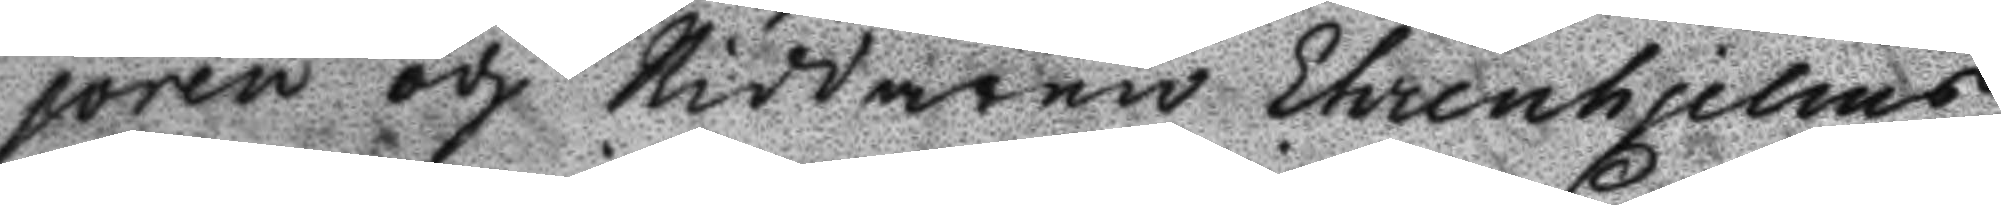joren och Riddaren Ehrenhjelms
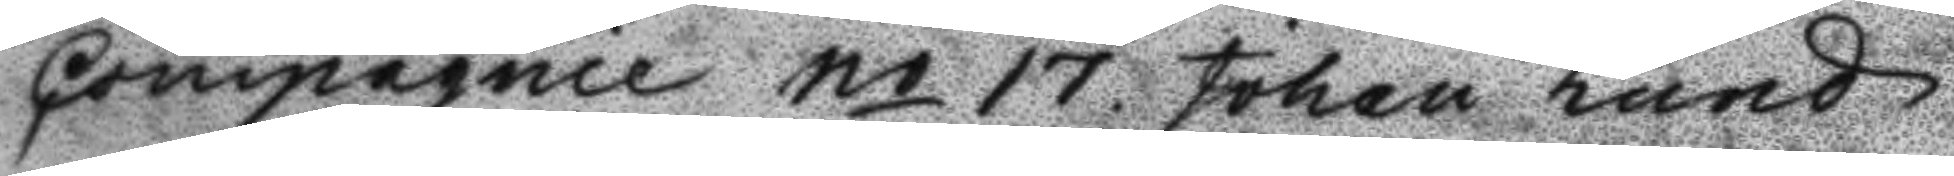Compagnie No 17 Johan Lund
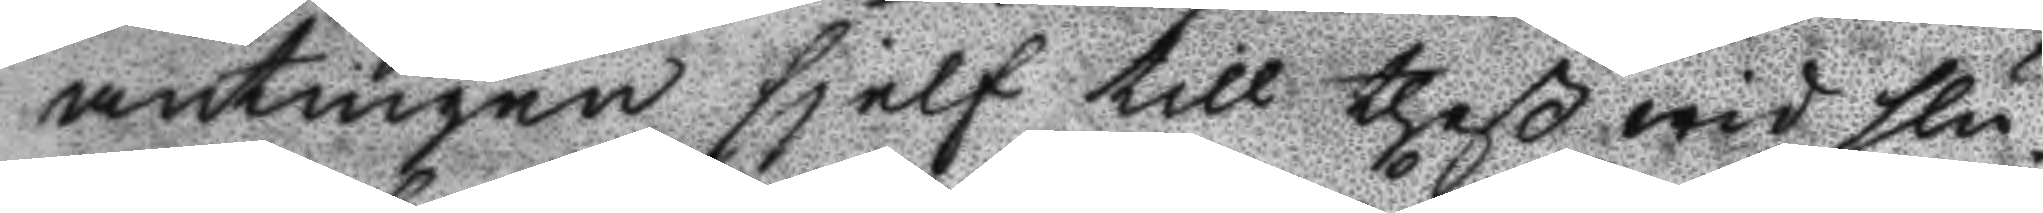antingen sjelf till theß wid slu¬
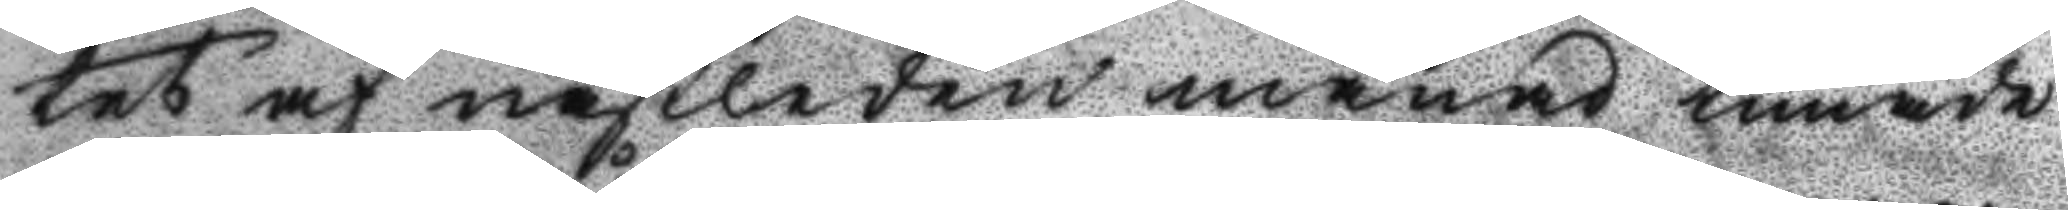tet af nästledne månad timade
